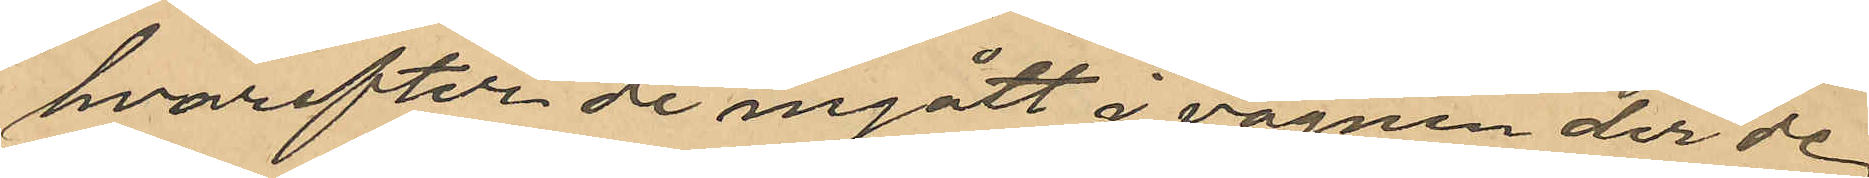hvarefter de ingått i vagnen der de
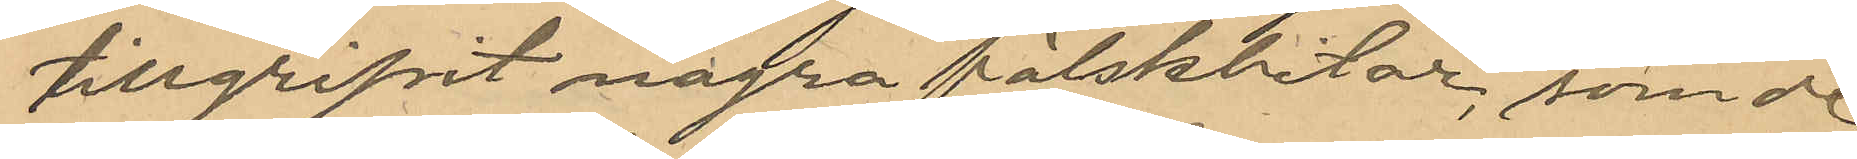tillgripit några fälskbitar; som de
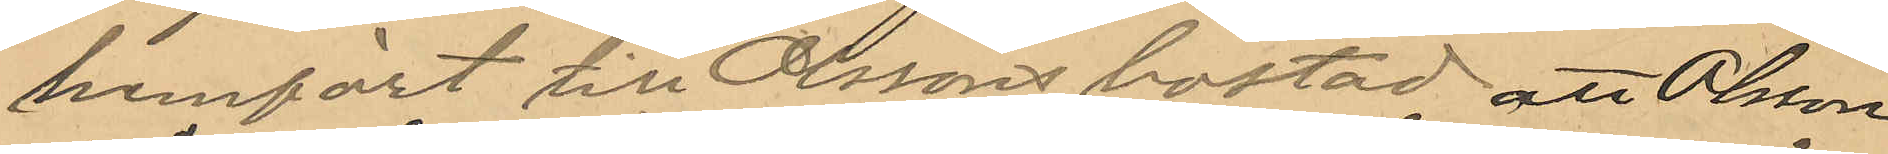hemfört till Olssons bostad att Olsson
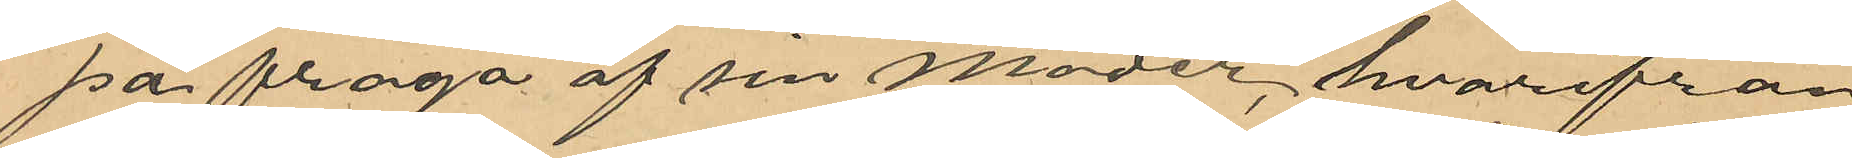på fråga af sin moder, hvarifrån
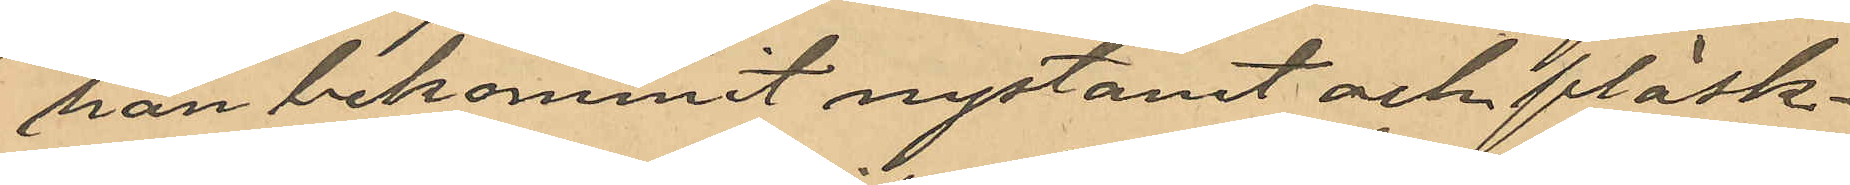han bekommit nystanet och fläsk¬
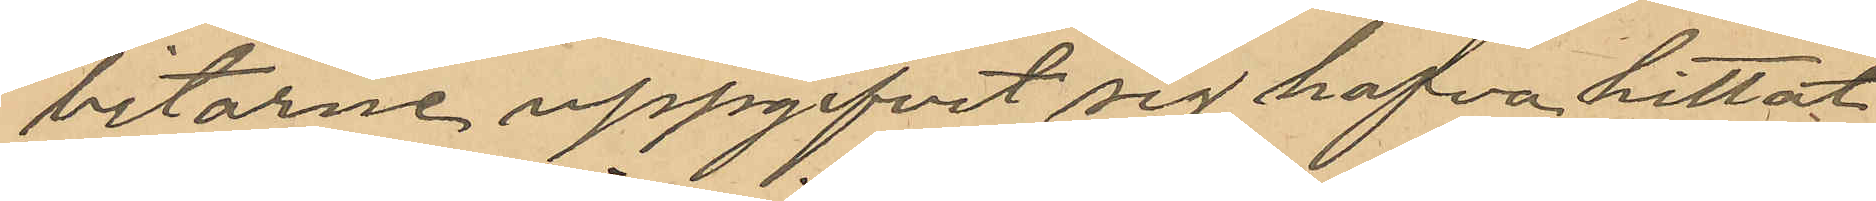bitarne uppgifvit sig hafva hittat
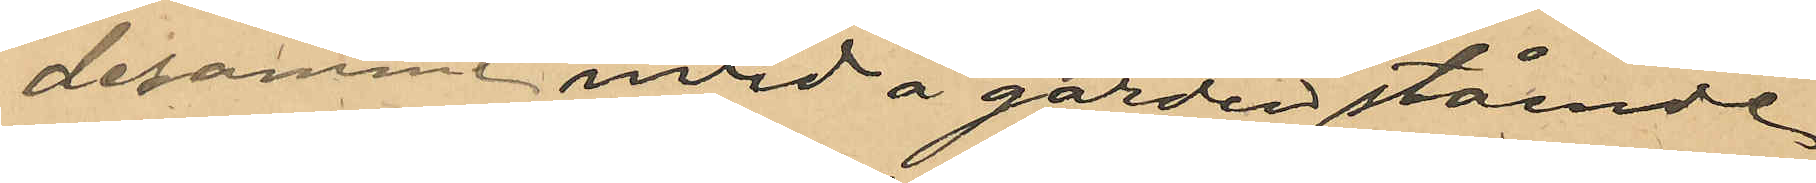desamma invid å gården stående
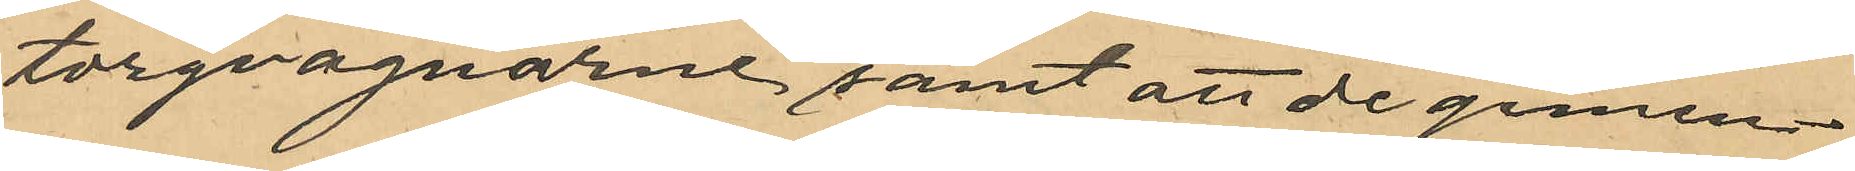torgvagnarne samt att de gemen¬
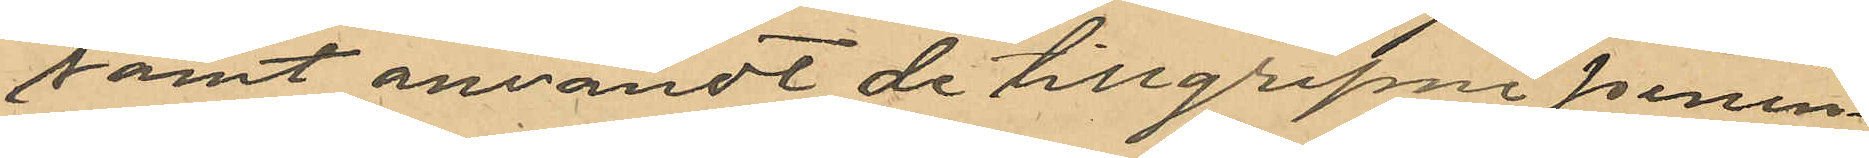samt användt de tillgripne penin¬
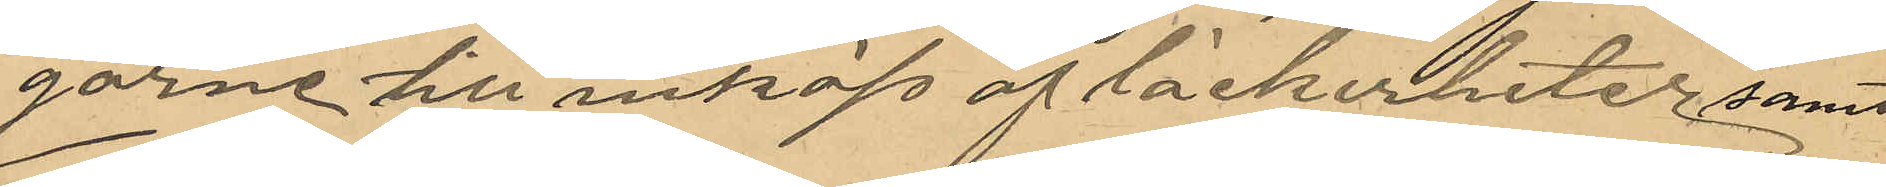garne till inköp af läckerheter, samt
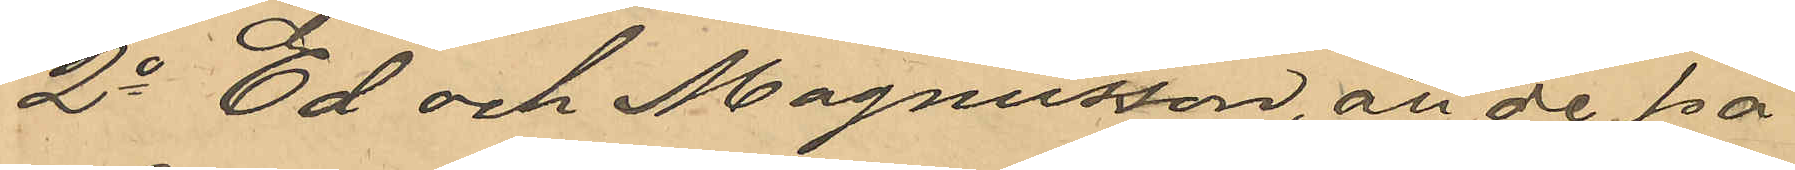2o Ed och Magnusson, att de på
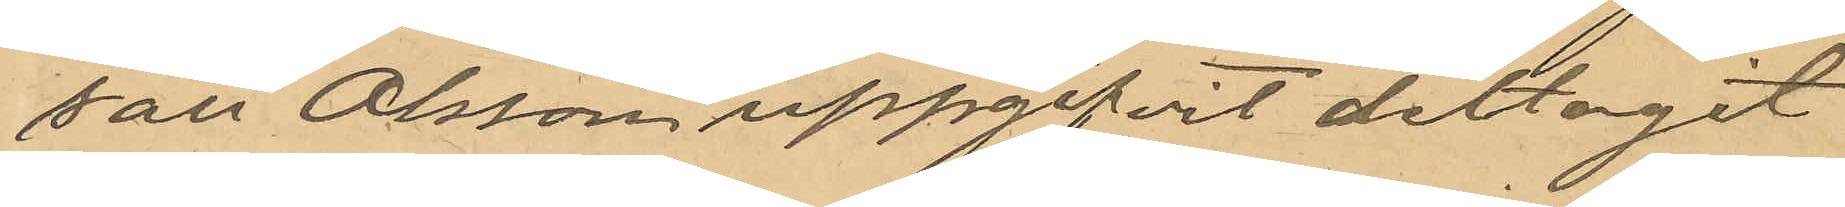sätt Olsson uppgifvit deltagit
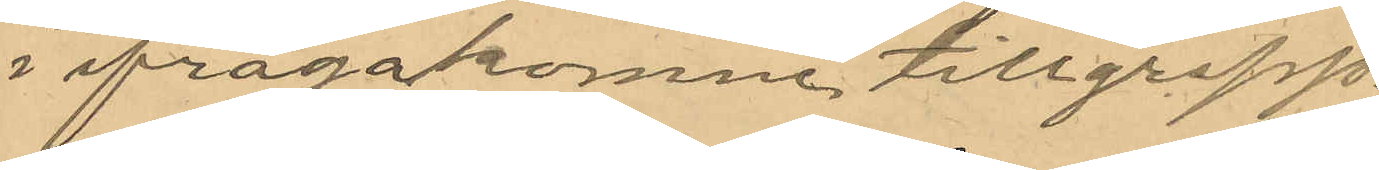i ifrågakomne tillgrepp.
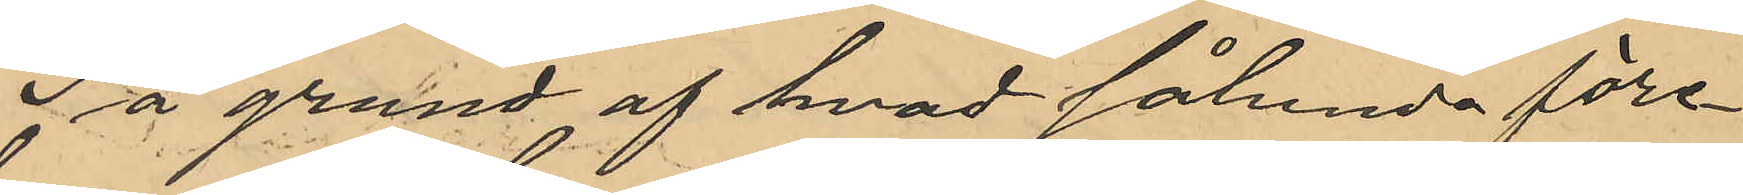På grund af hvad sålunda före¬
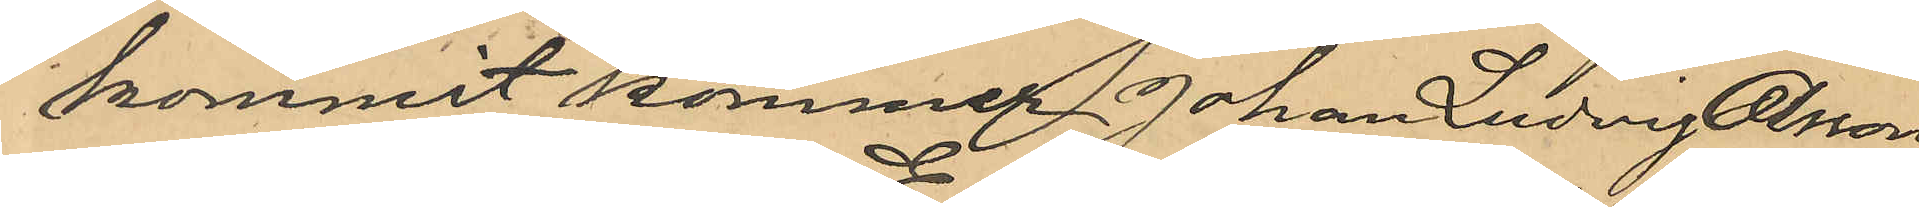kommit kommer Johan Ludvig Olsson
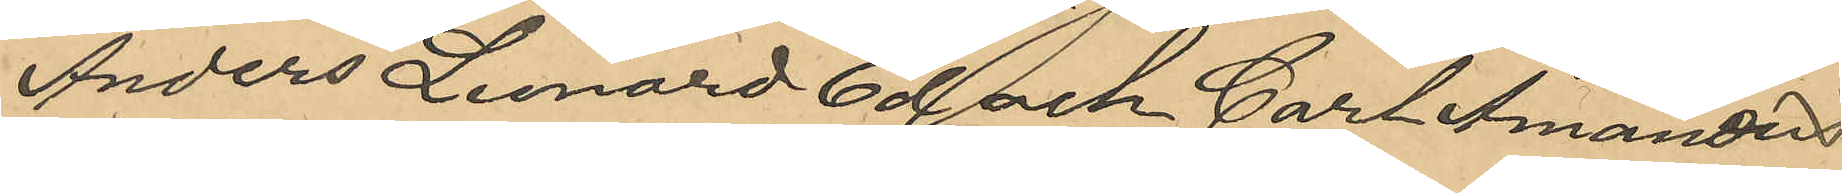Anders Leonard Ed och Carl Amandus
